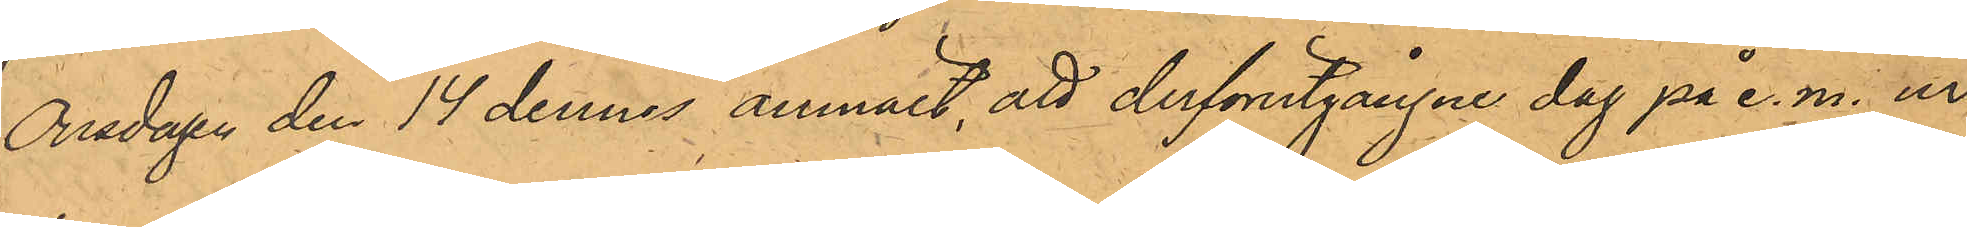Onsdagen den 14 dennes anmält, att derförutgångne dag på e. m. ur
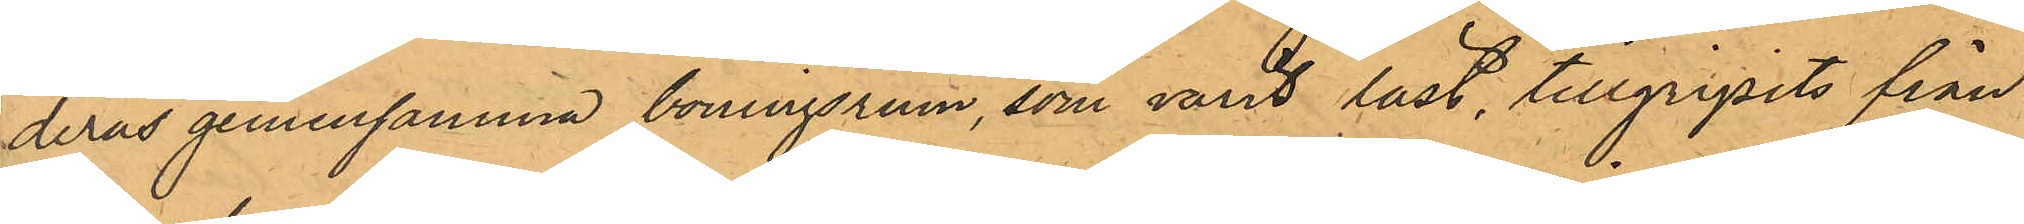deras gemensamma boningsrum, som varit låst, tillgripits från
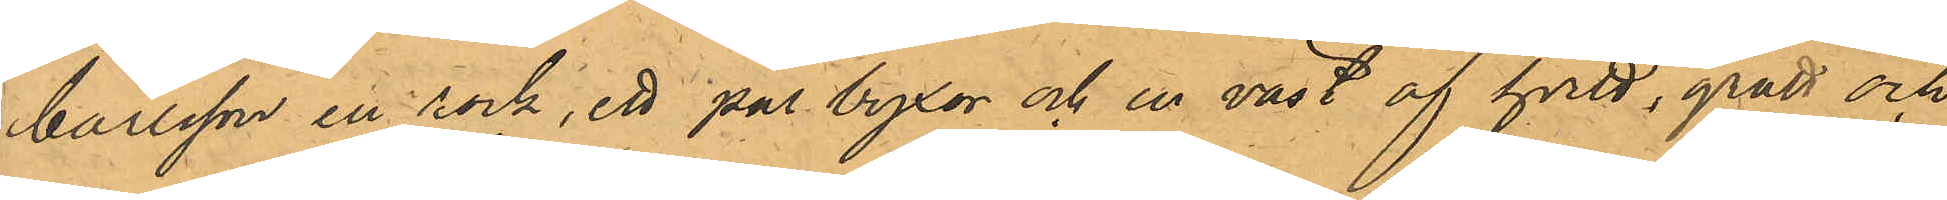Carlsson en rock, ett par byxor och en väst af hvitt, grått och
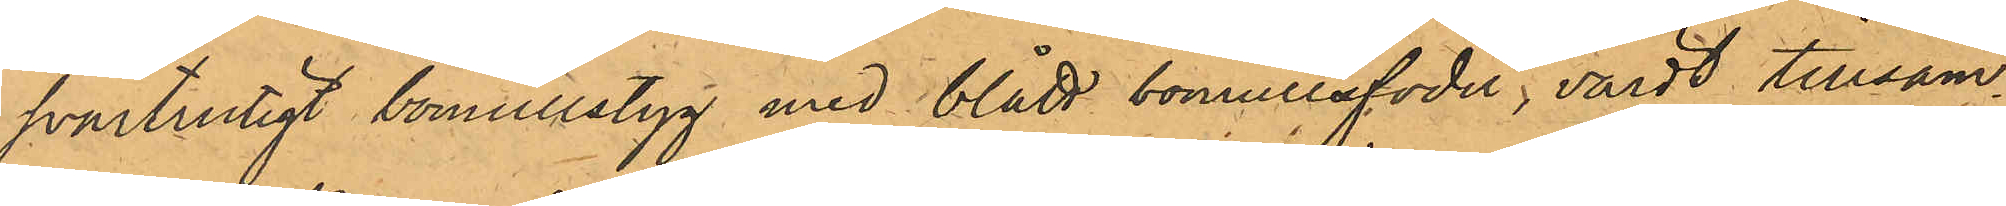svartrutigt bomullstyg med blått bomullsfoder, värdt tillsam¬
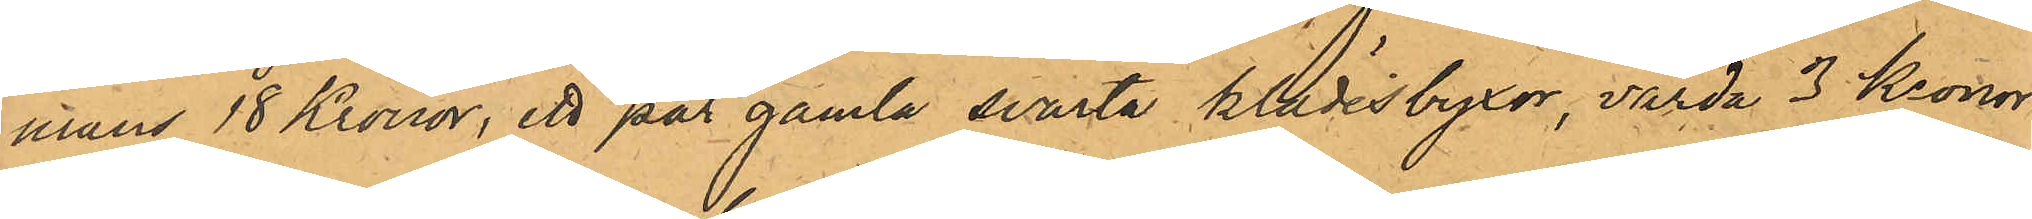mans 18 Kronor, ett par gamla svarta klädesbyxor, värda 3 Kronor
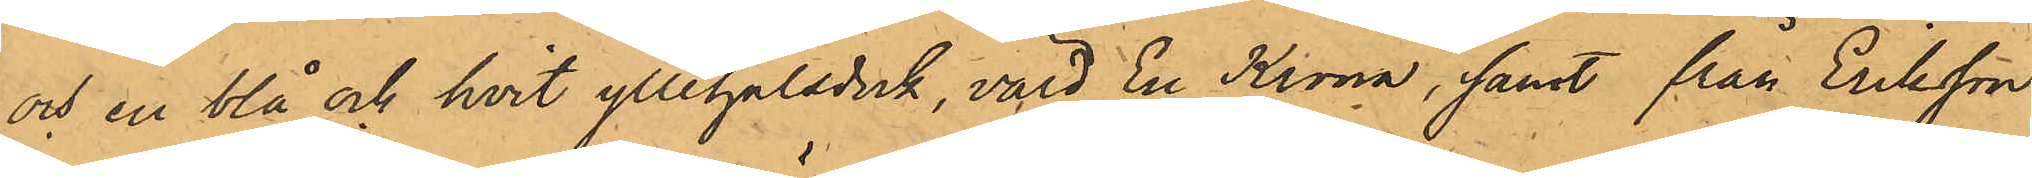och en blå och hvit yllehalsduk, värd En Krona, samt från Eriksson
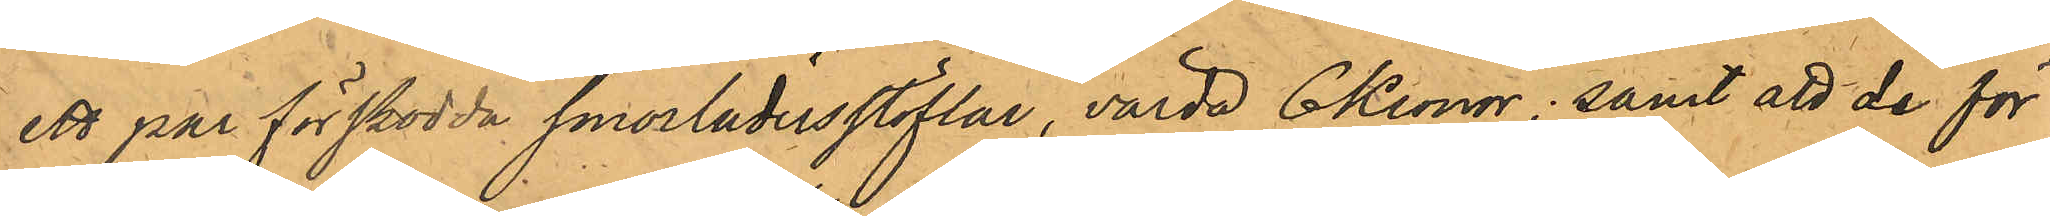ett par förskodda smorlädersstöflar, värda 6 Kronor; samt att de för
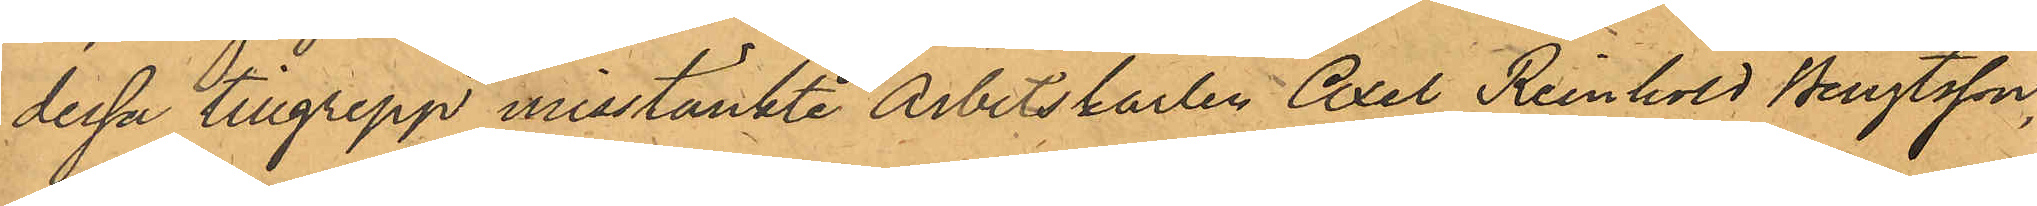dessa tillgrepp misstänkte Arbetskarlen Axel Reinhold Bengtsson,
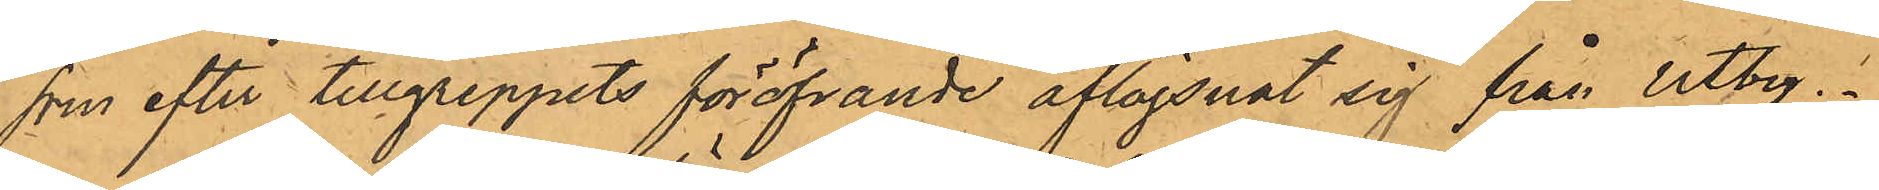som efter tillgreppets föröfvande aflägsnat sig från Utby.
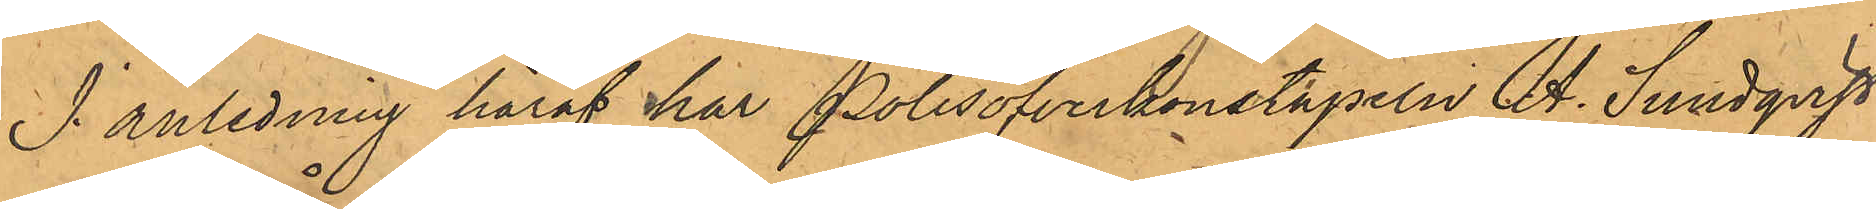I anledning häraf har Polisöfverkonstapeln A. Sundqvist
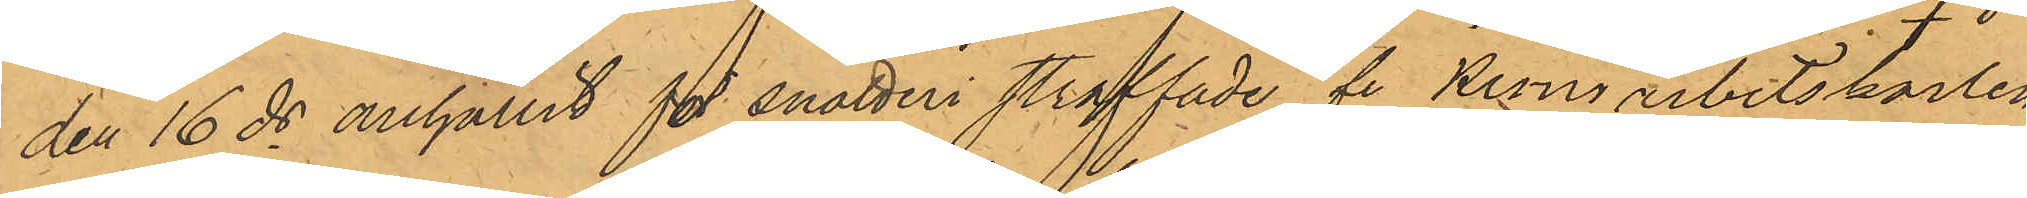den 16 ds anhållit för snatteri straffade fe Krono arbetskarlen
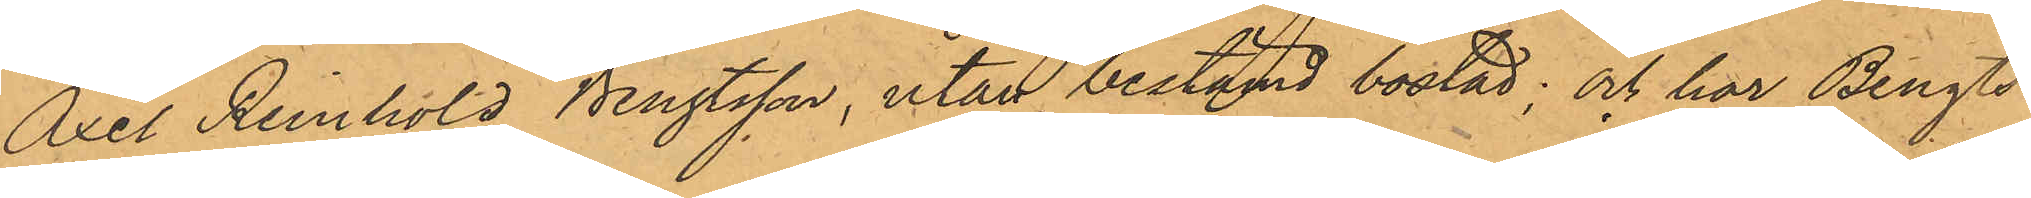Axel Reinhöld Bengtsson, utan bestämd bostad; och har Bengts¬
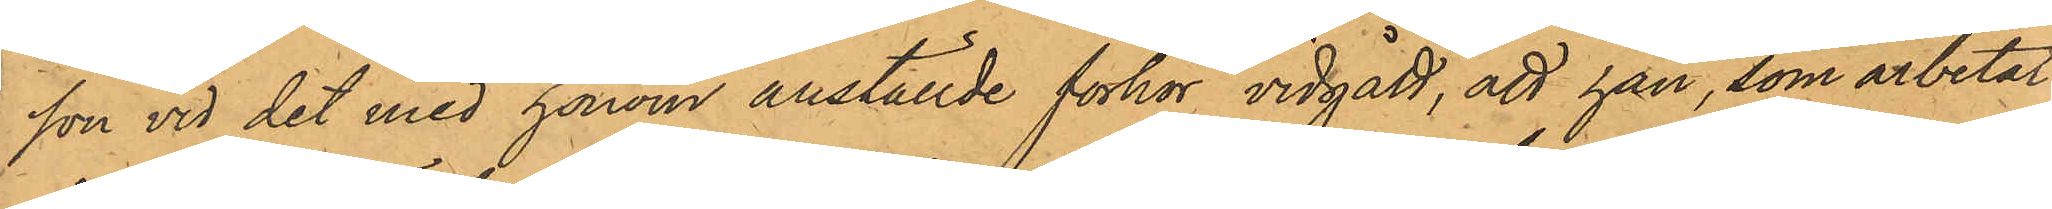son vid det med honom anställde förhör vidgått, att han, som arbetat
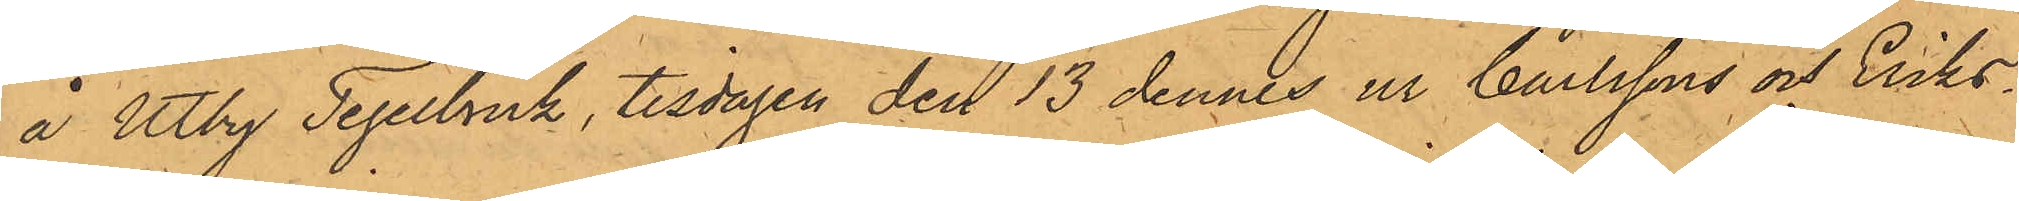å Utby Tegelbruk, tisdagen den 13 dennes ur Carlssons och Eriks¬
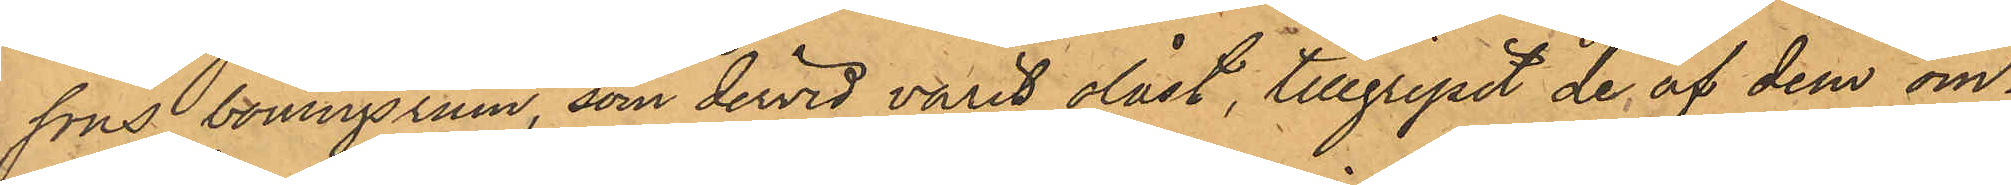sons boningsrum, som dervid varit olåst, tillgripit de af dem om¬
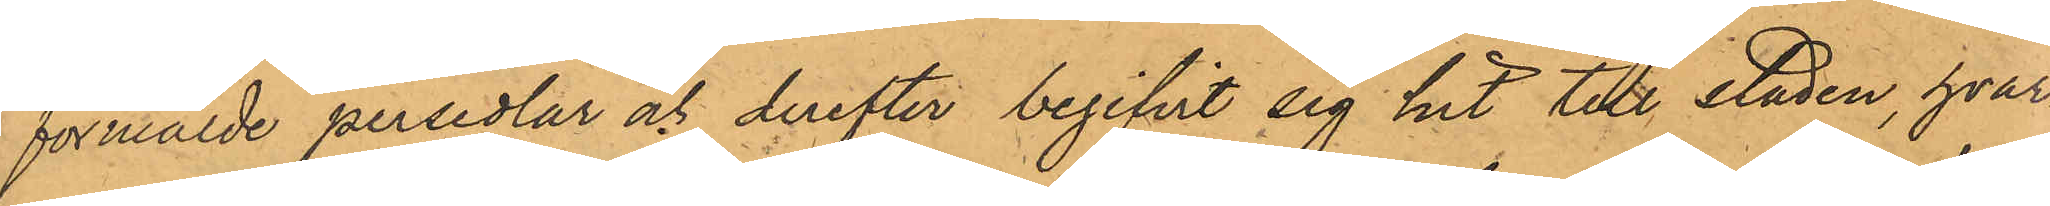förmälde persedlar och derefter begifvit sig hit till staden, hvar¬
